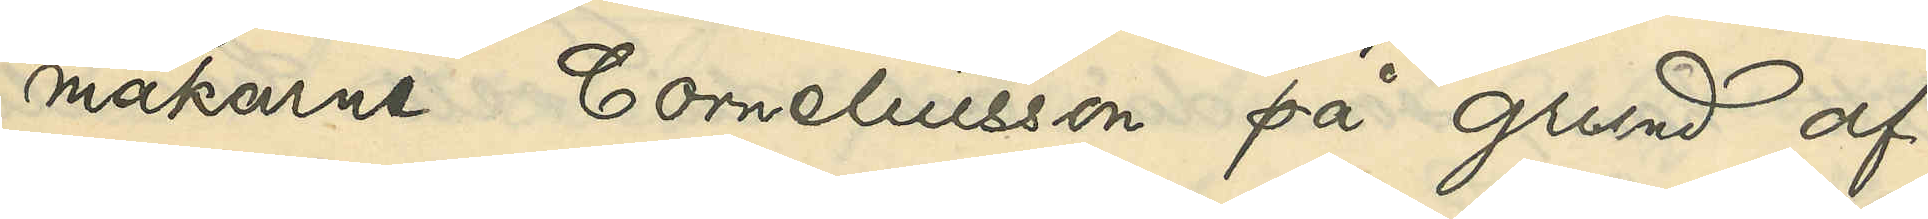makarne Corneliusson på grund af
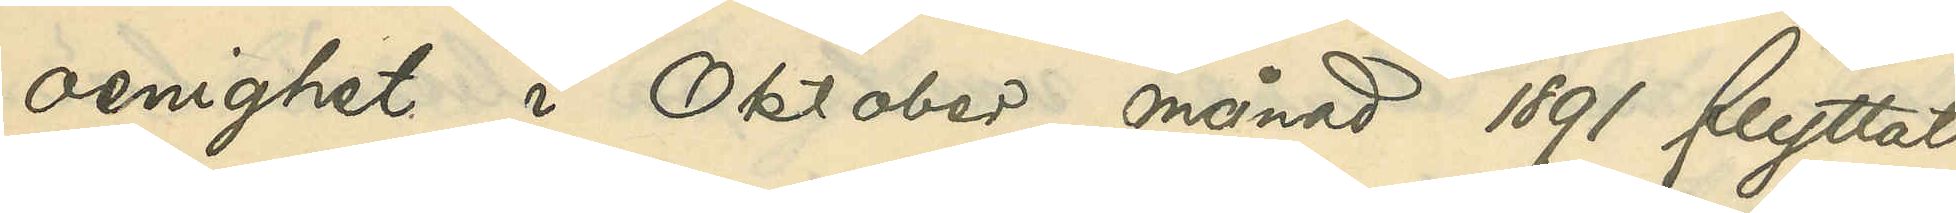oenighet i Oktober 1891 flyttat
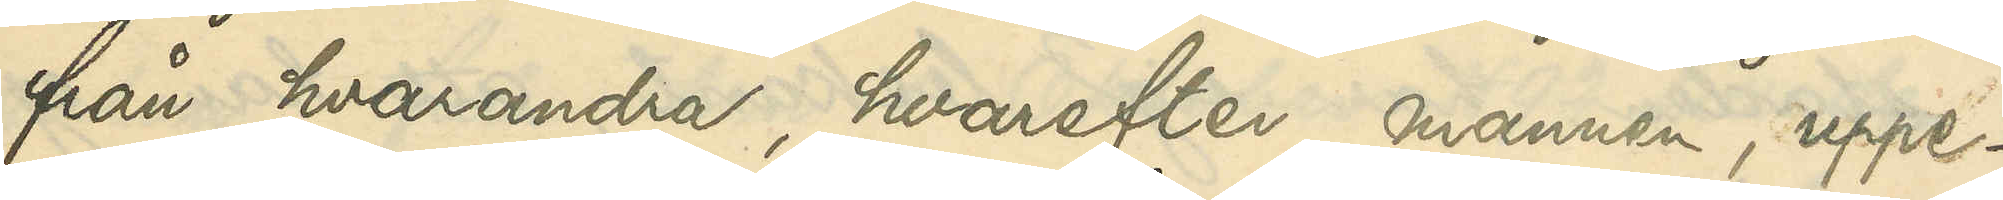från hvarandra, hvarefter mannen, uppe¬
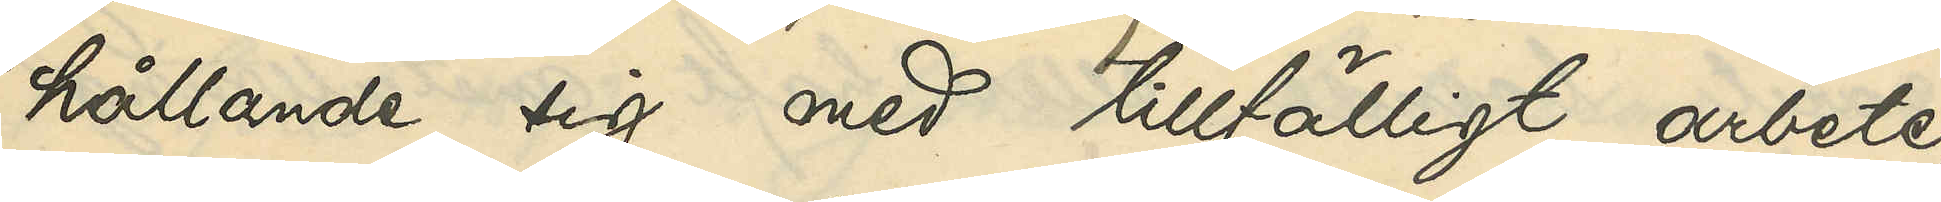hållande sig med tillfälligt arbete,
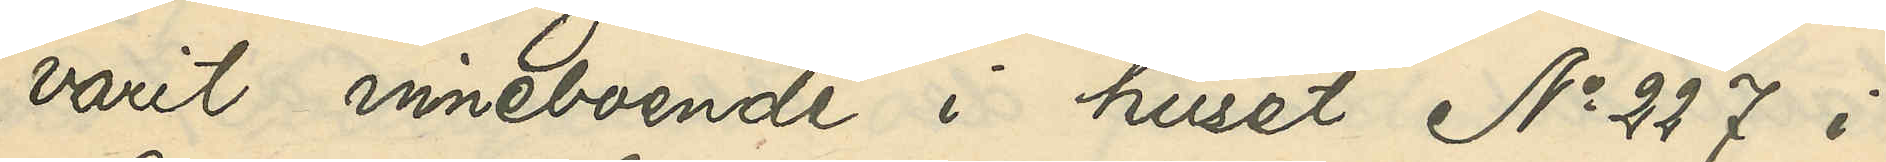varit inneboende i huset No 227 i
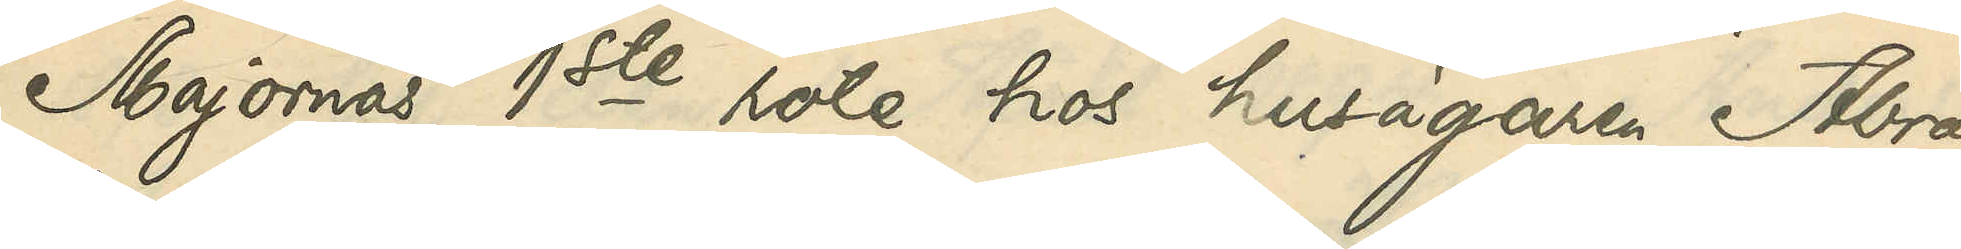Majornas 1ste rote hos husägaren Abra¬
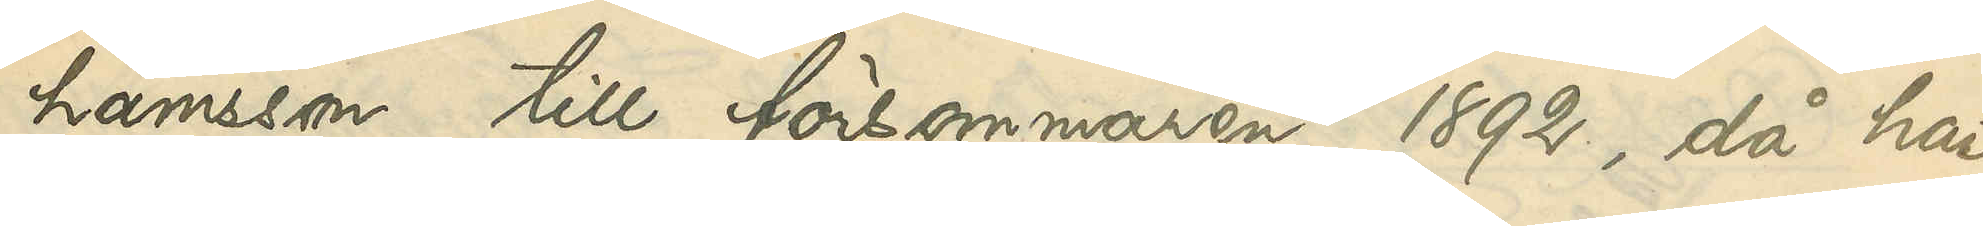hamsson till försommaren 1892, då han
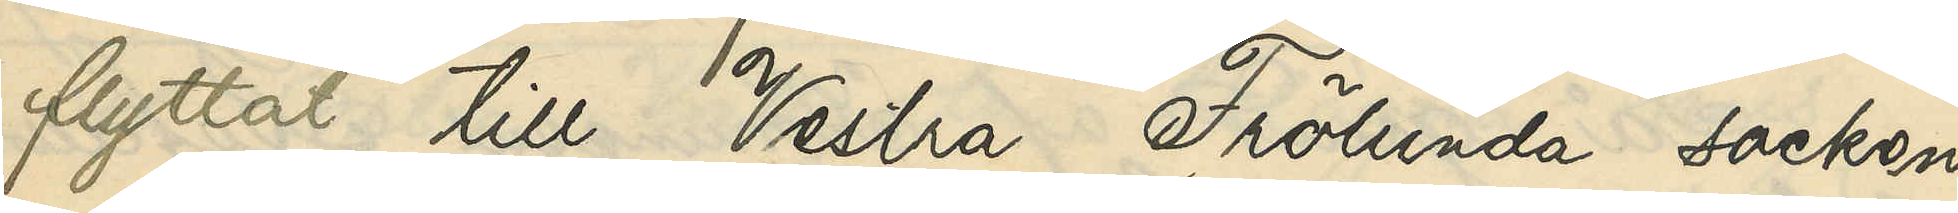flyttat till Vestra Frölunda socken
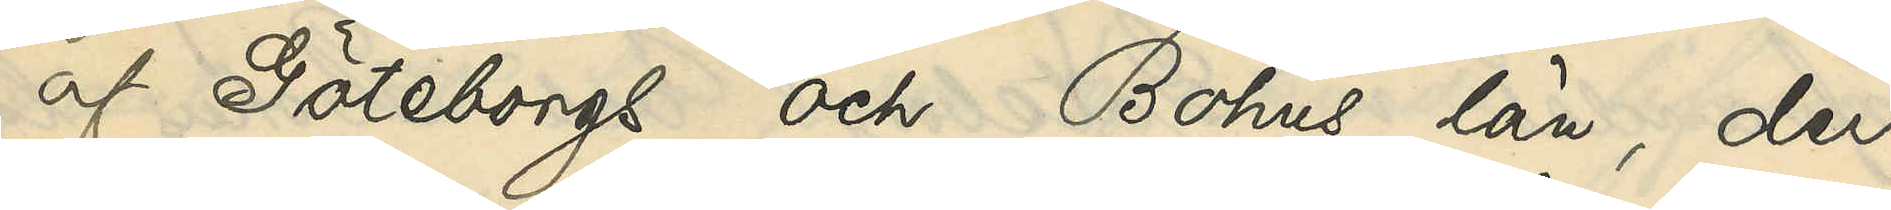af Göteborgs och Bohus län, der
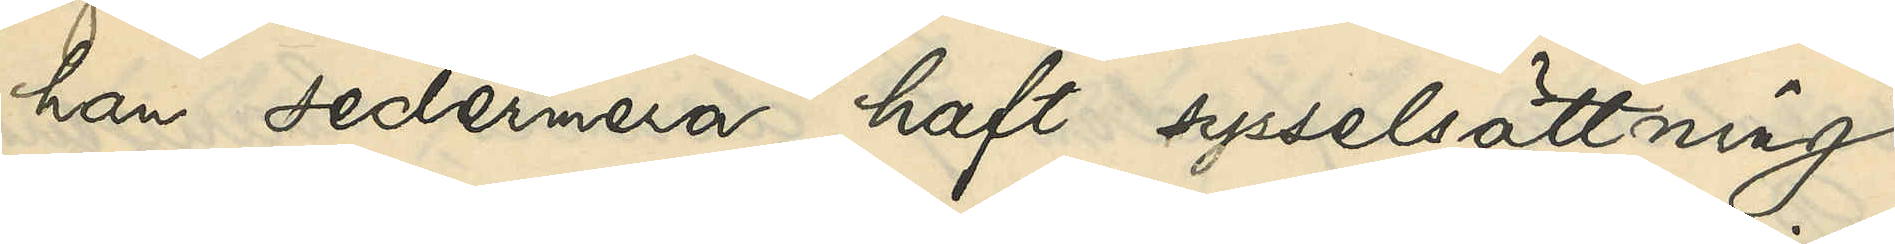han sedermera haft sysselsättning
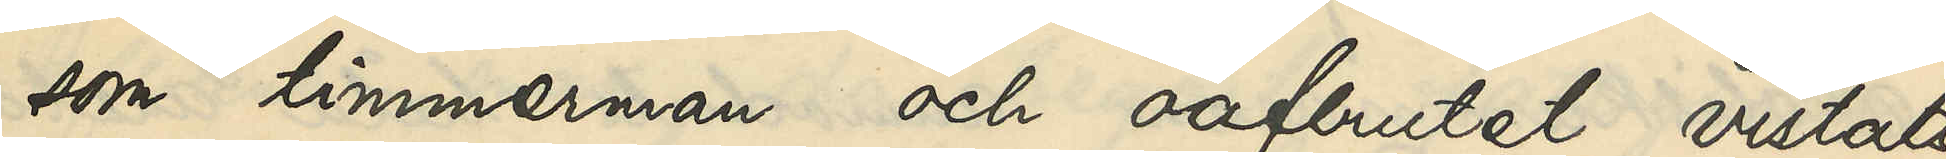som timmerman och oafbrutet vistats
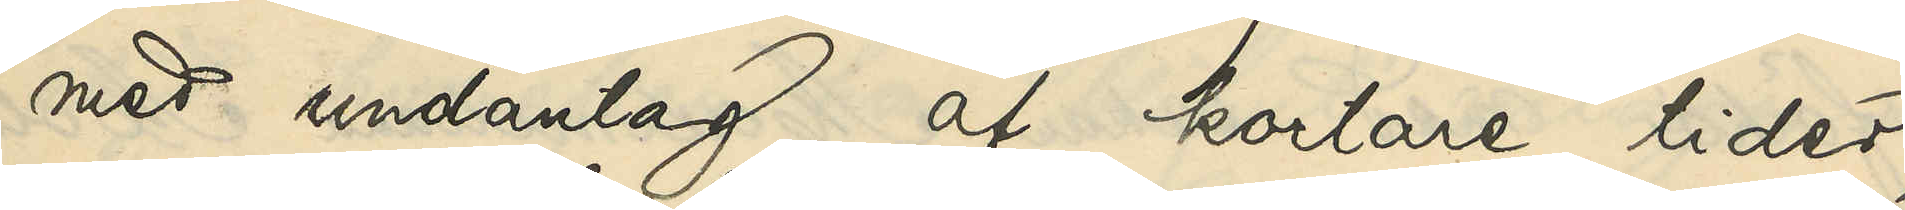med undantag af kortare tider,
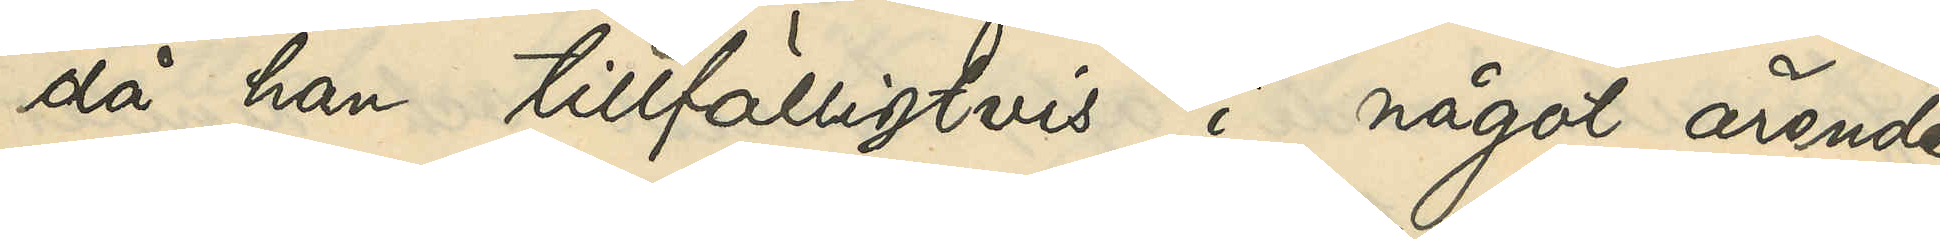då han tillfälligtvis i något ärende
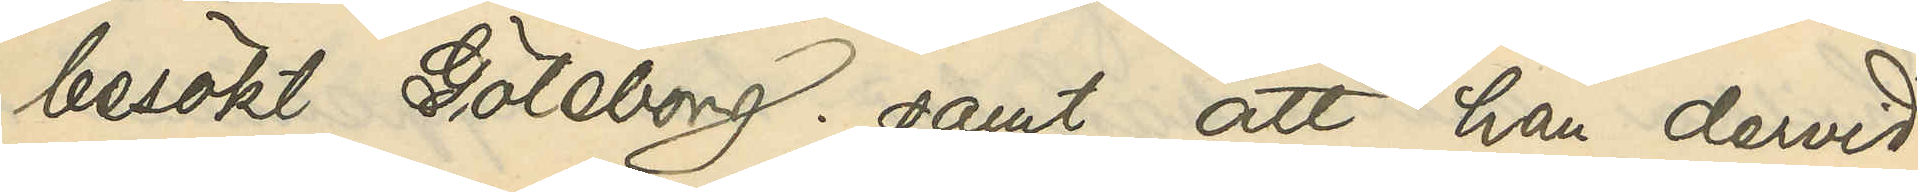besökt Göteborg; samt att han dervid
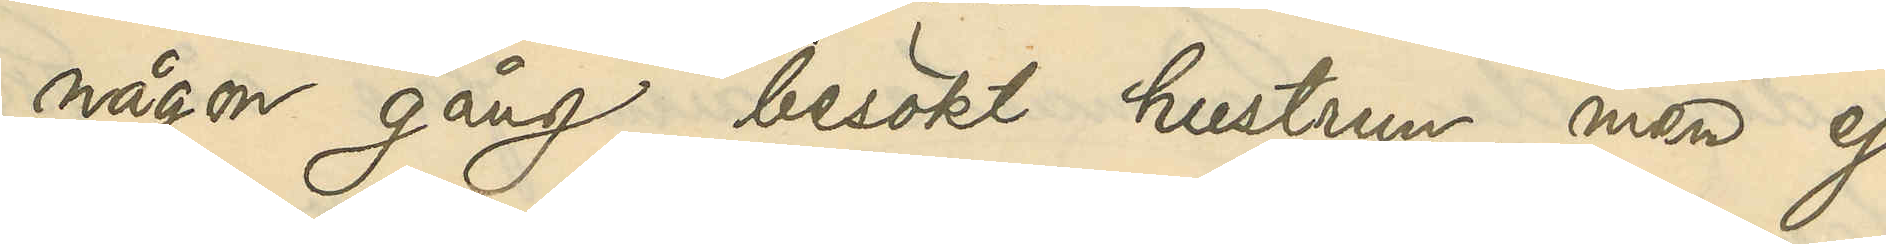någon gång besökt hustrun, men ej
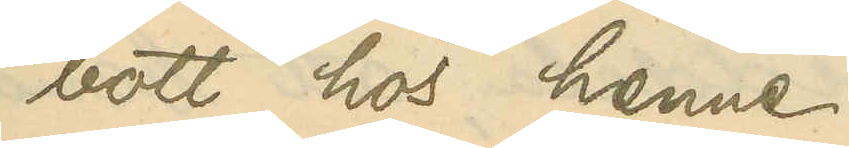bott hos henne;
